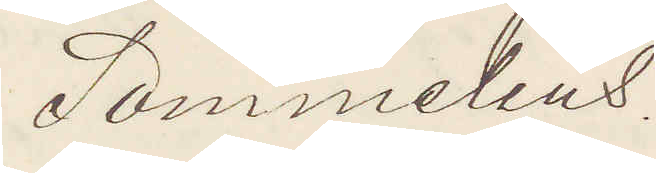Sommelius.
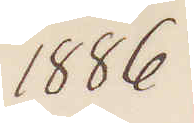1886
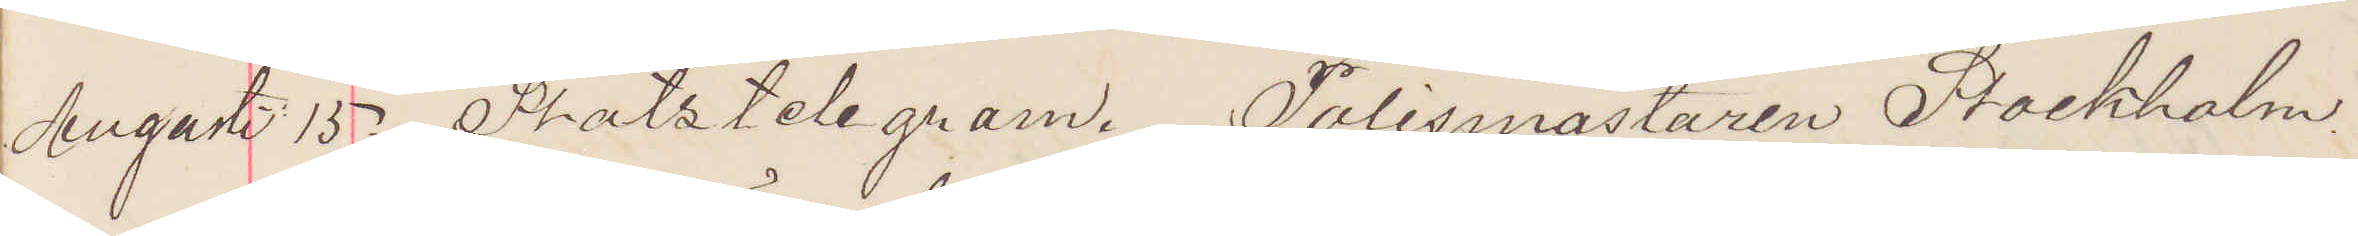Augusti 15. Statstelegram. Polismästaren Srockholm.
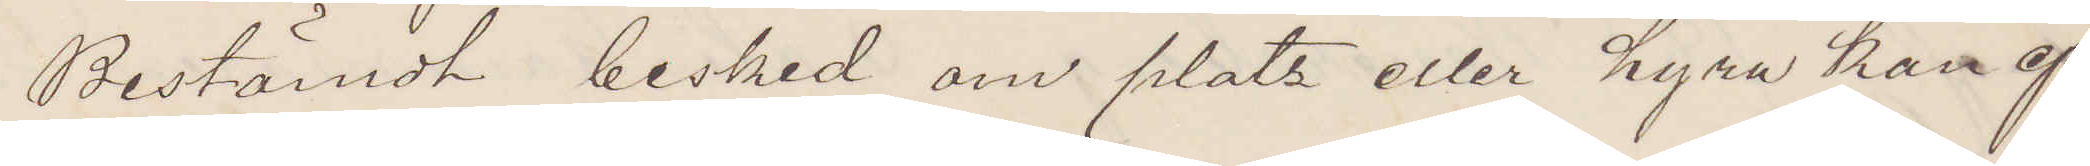Bestämdt besked om plats eller hyra kan ej
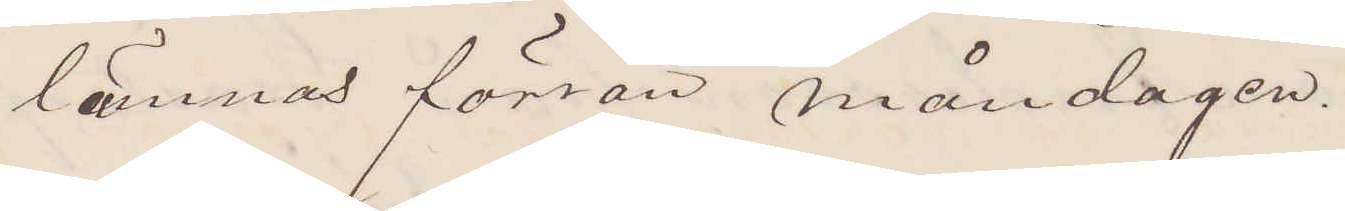lämnas förrän måndagen.
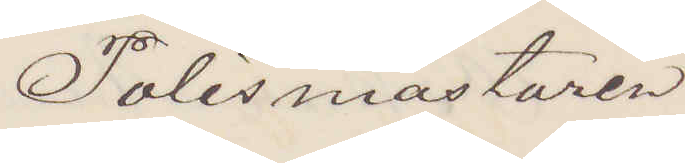Polismästaren.
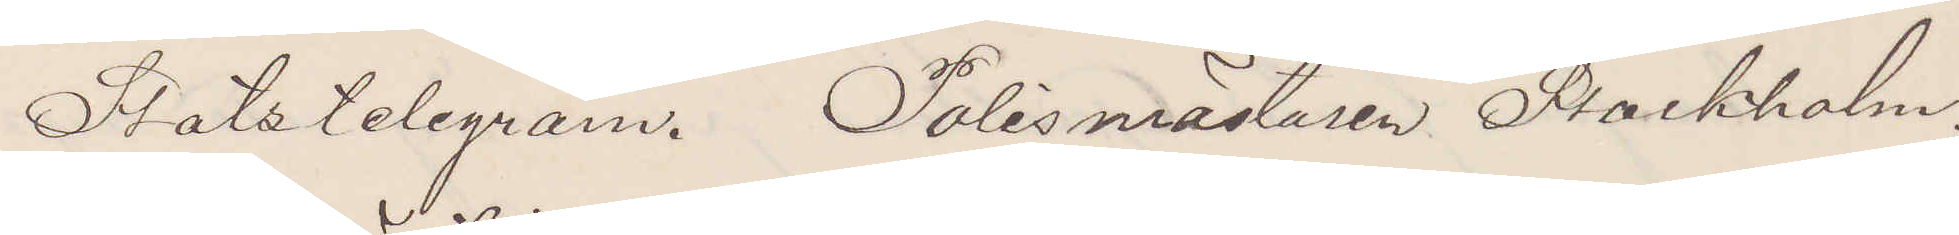Statstelegram. Polismästaren Stockholm.
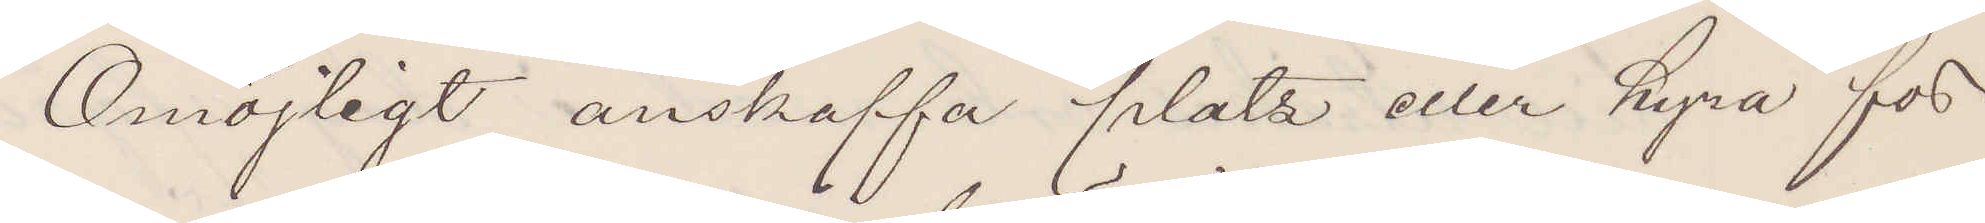Omöjligt anskaffa plats eller hyra för
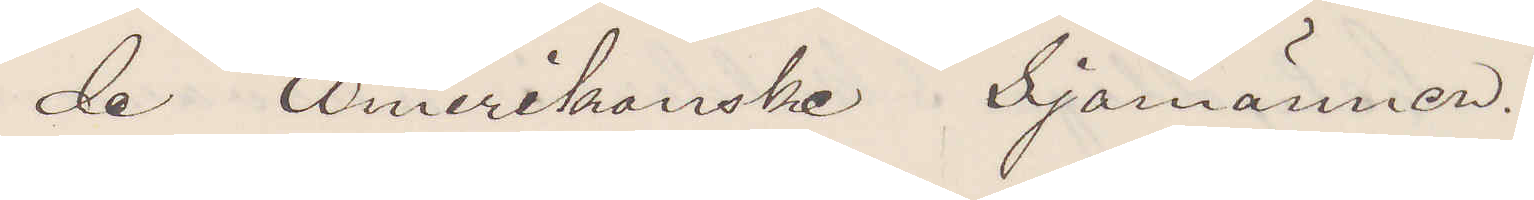de Amerikanske Sjömännen.
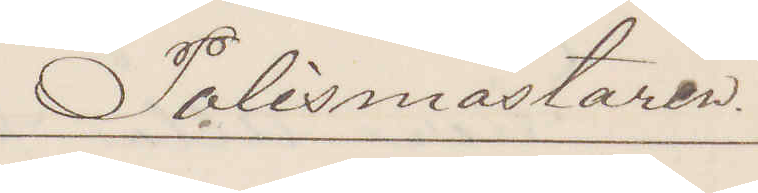Polismästaren.
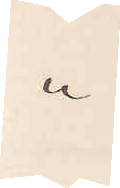"
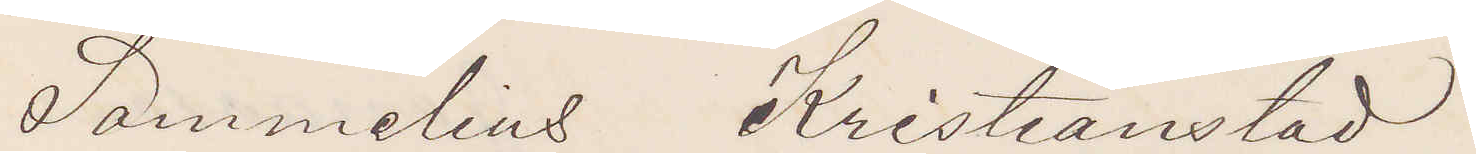Sommelius Kristianstad
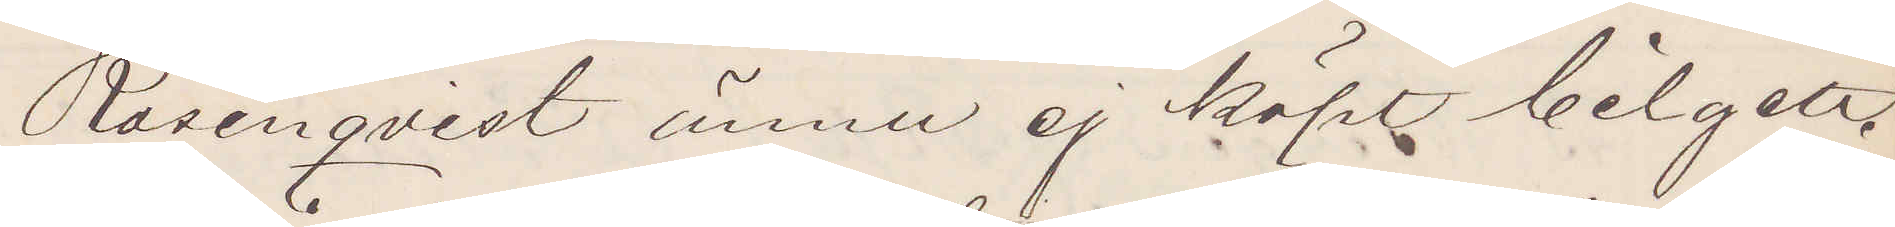Rosenqvist ännu ej köpt bilgett.
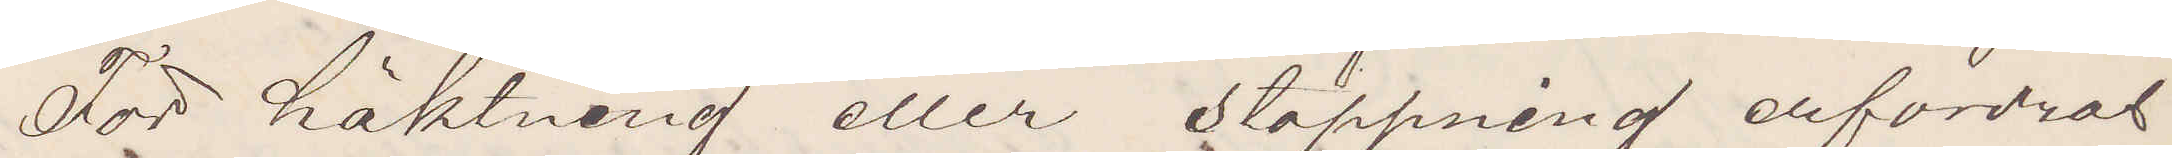För häktning eller stoppning erfordras
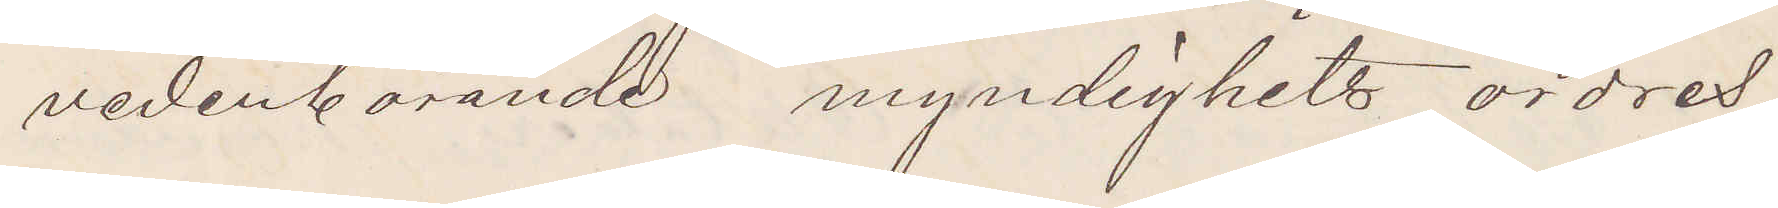vederbörande myndighets ordres.
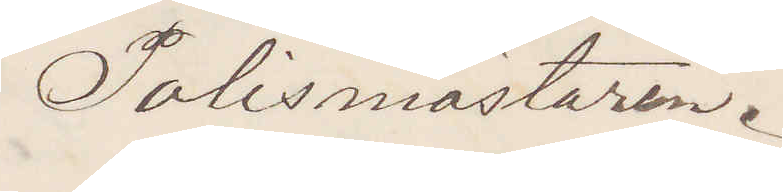Polismästaren.
